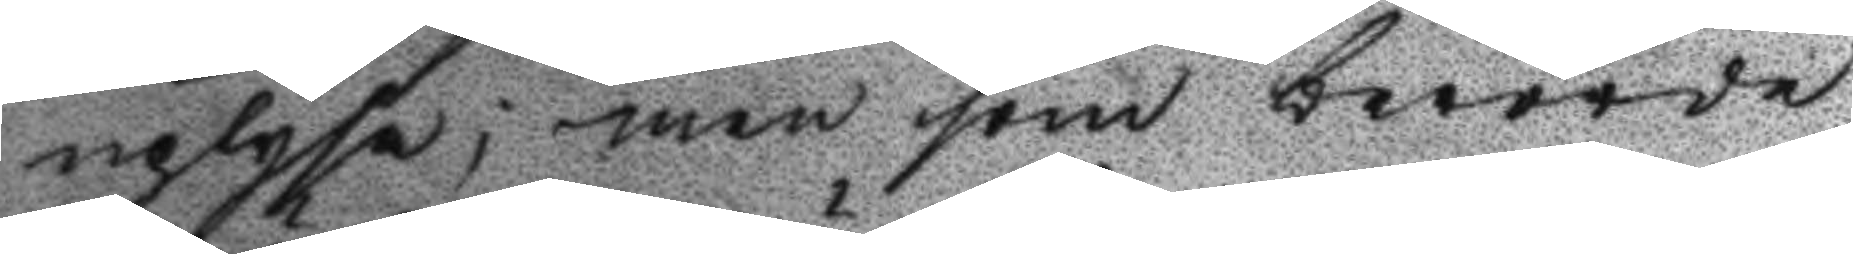uplysa; men som berörde
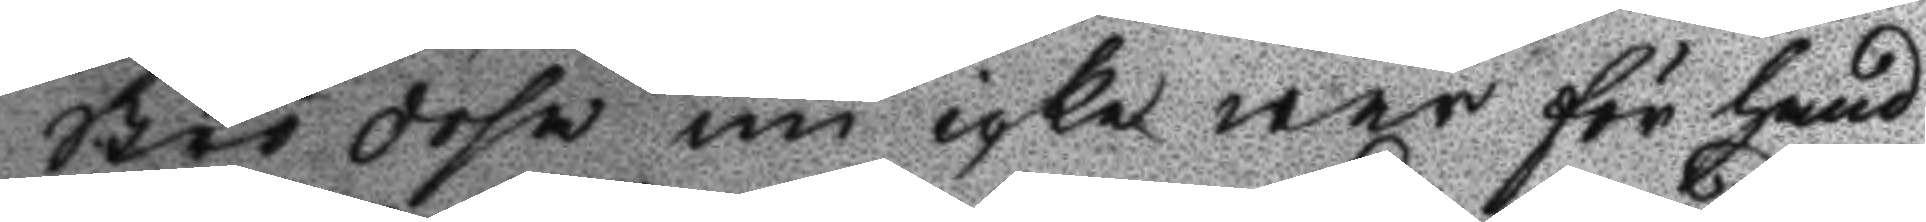strödosa nu icke war för hand
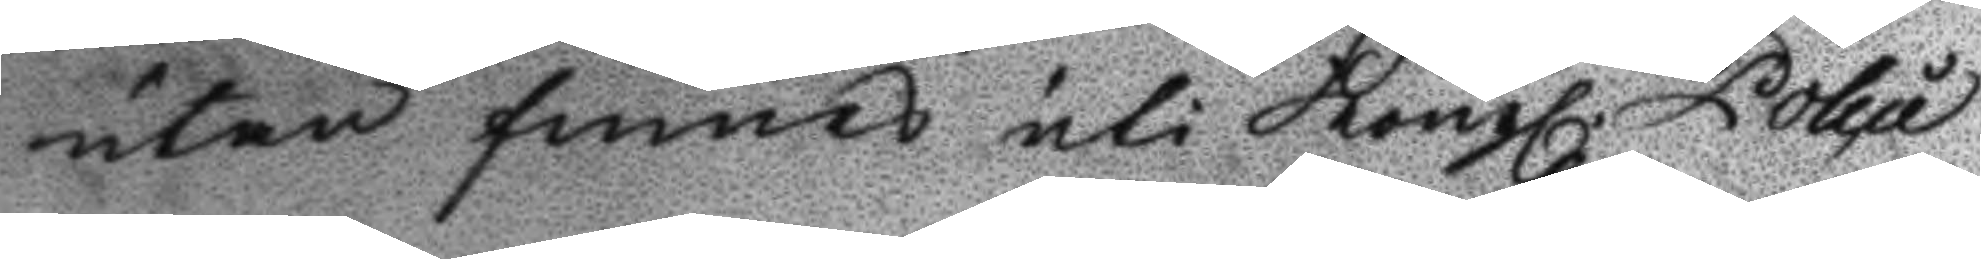utan finnes uti Kongl. Police
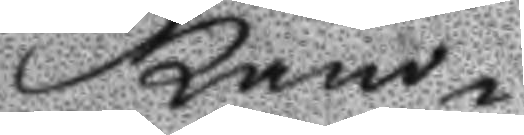kam¬
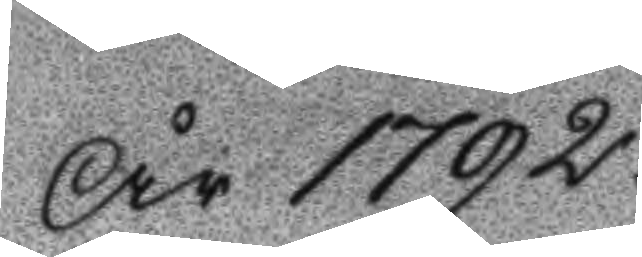År 1792.
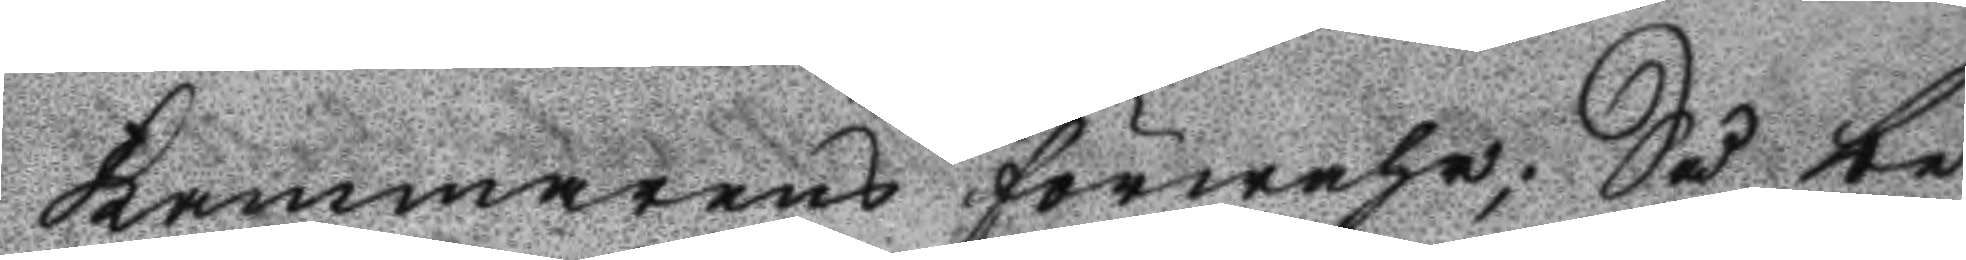kammarens förwahr; Så be¬
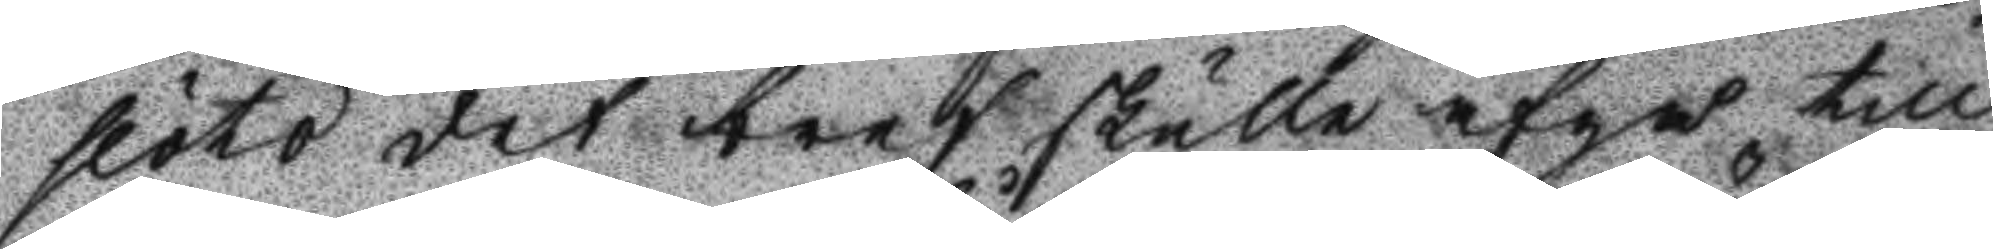slöto det bref skulle afgå till
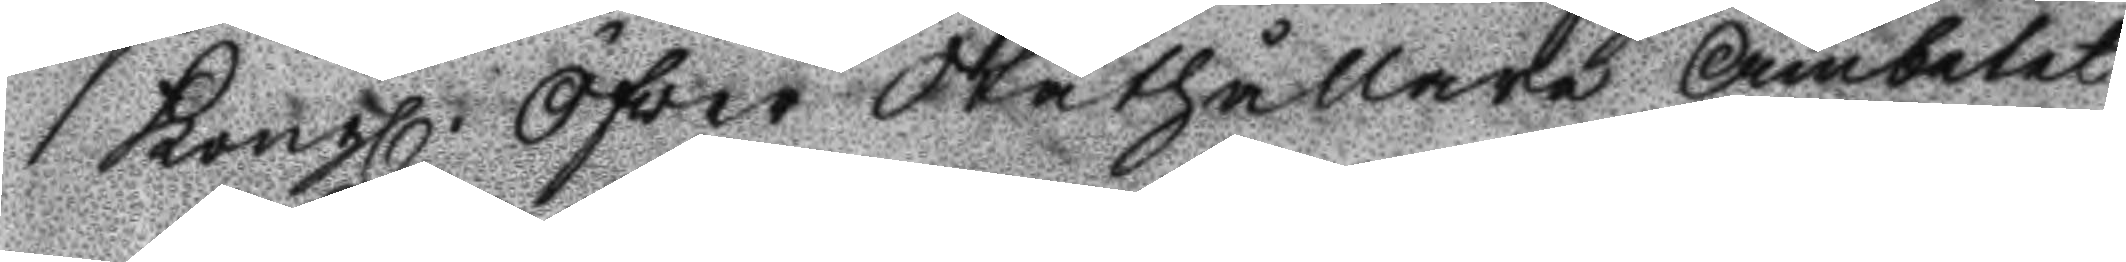Kongl. Öfver Ståthållare Ämbetet
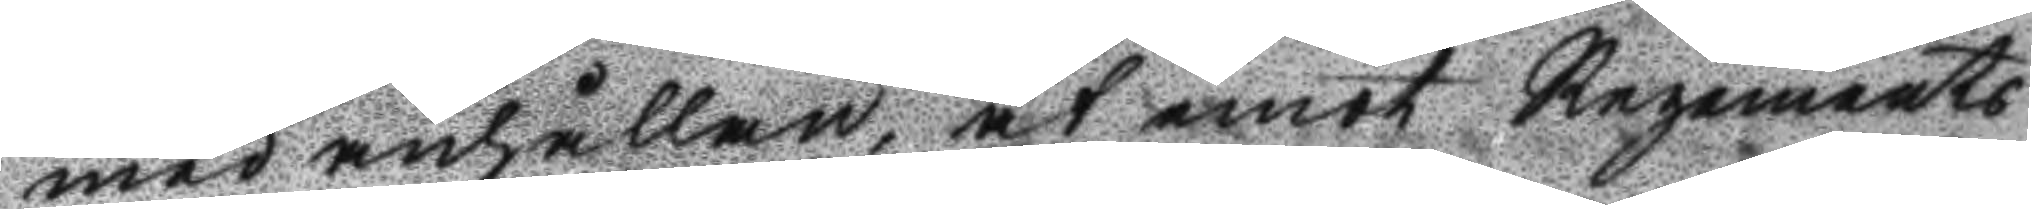med anhållan, at emot regements
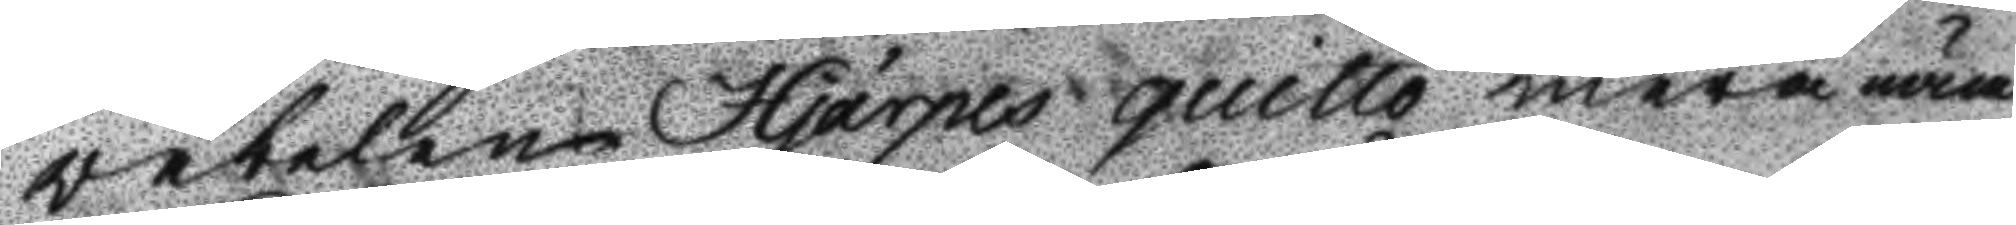väbelen Hjärpes quitto mera näm¬
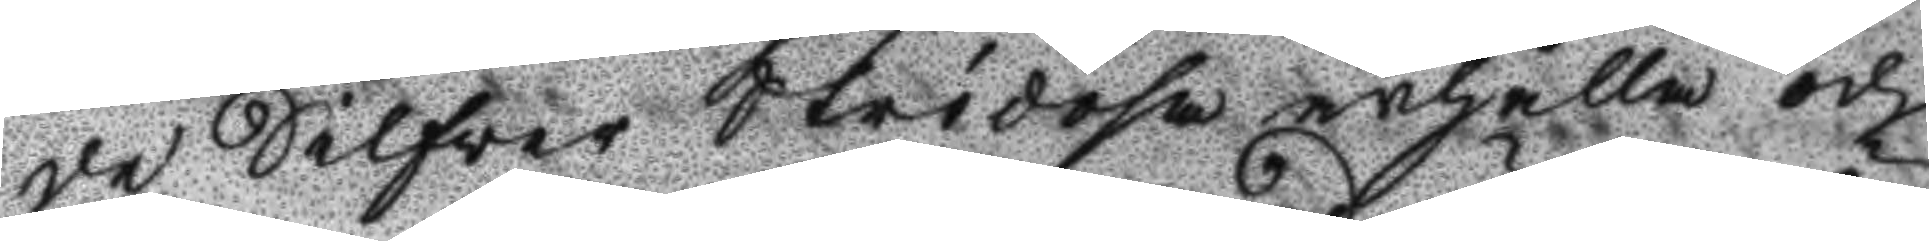de Silfver Strödosa ärhålla och
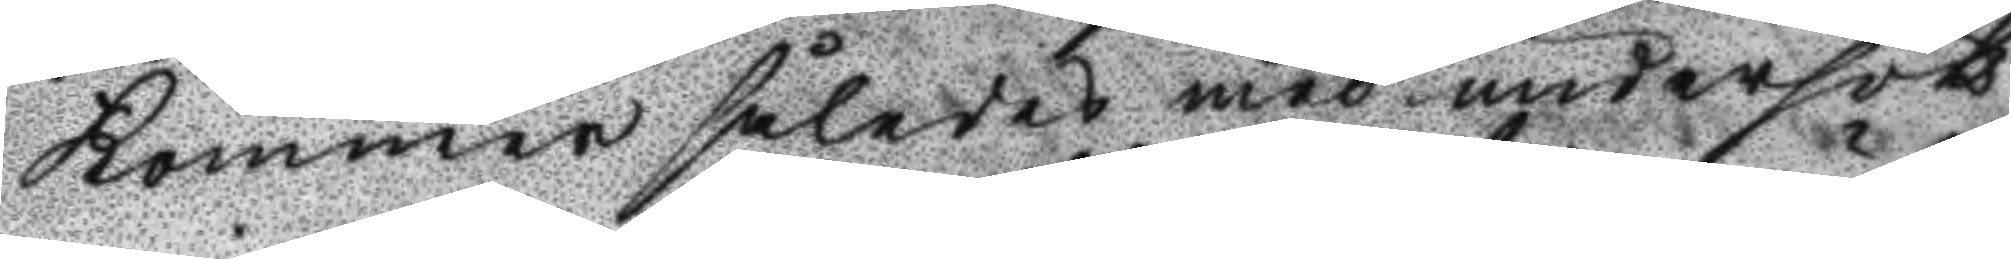kommer således med undersök¬
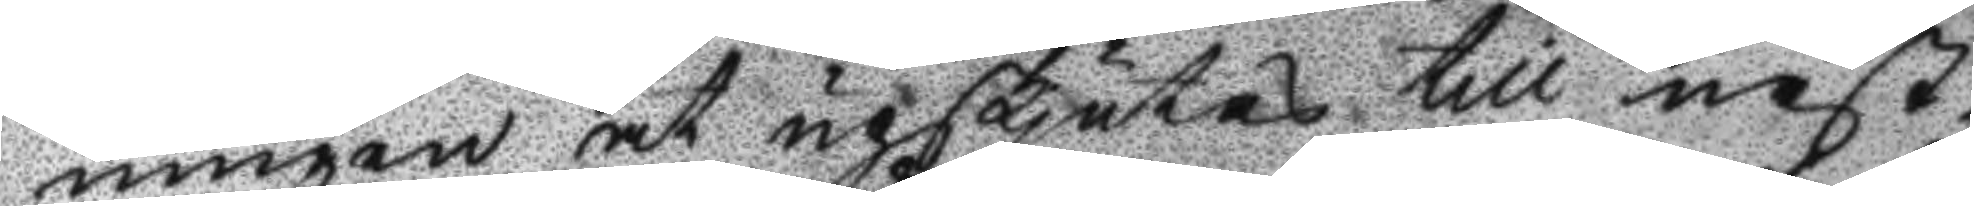ningen at upskjutas till näst¬
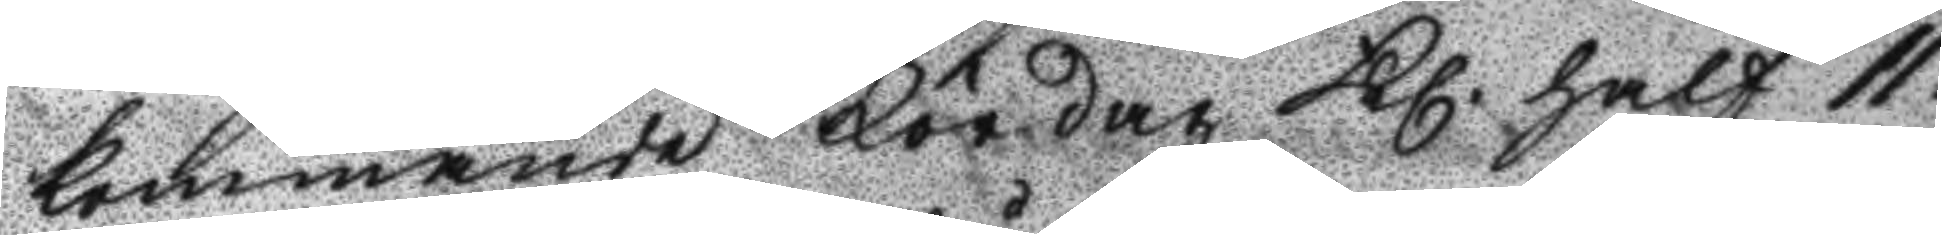kommande Lördag Kl. half 11
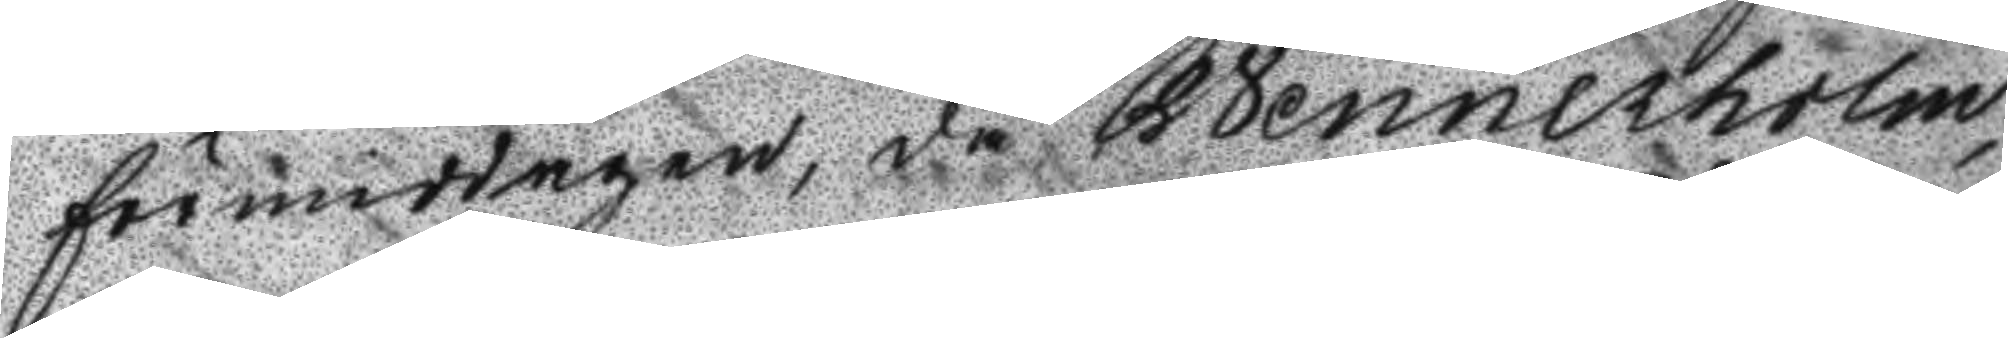förmiddagen, då Wennerholm,
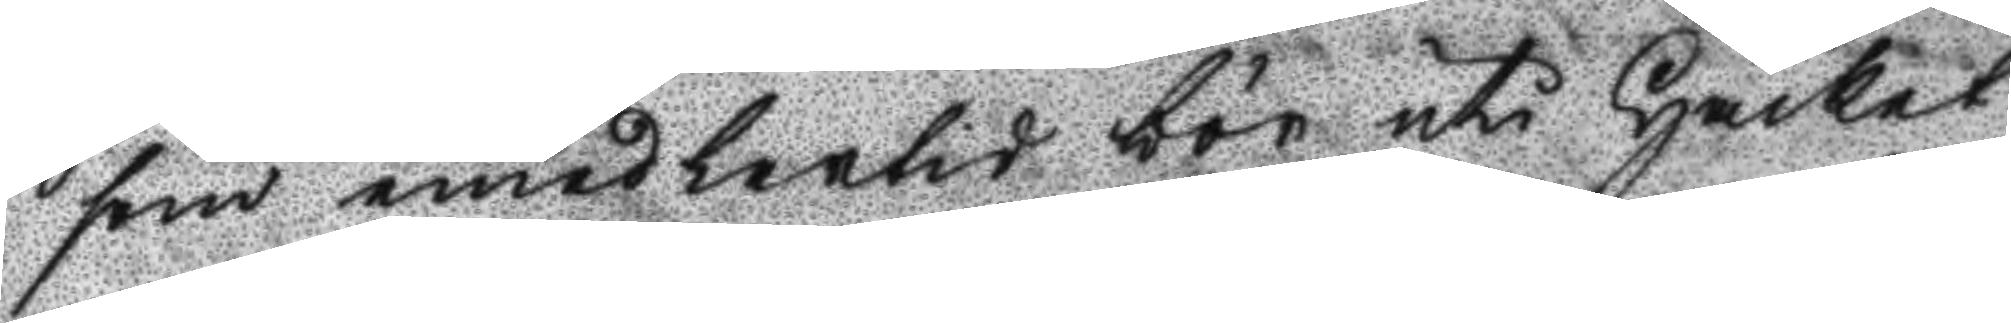som emedlertid bör uti Häktet
